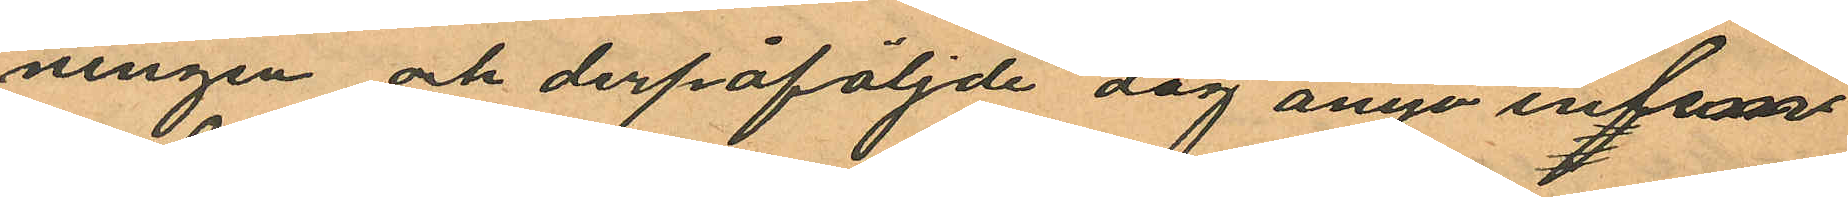ningen och derpåföljnde dag ånyo inlem¬
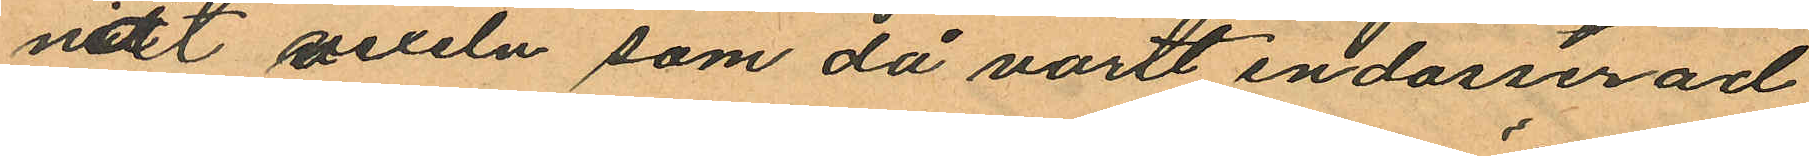nat vexeln som då varit endosserad
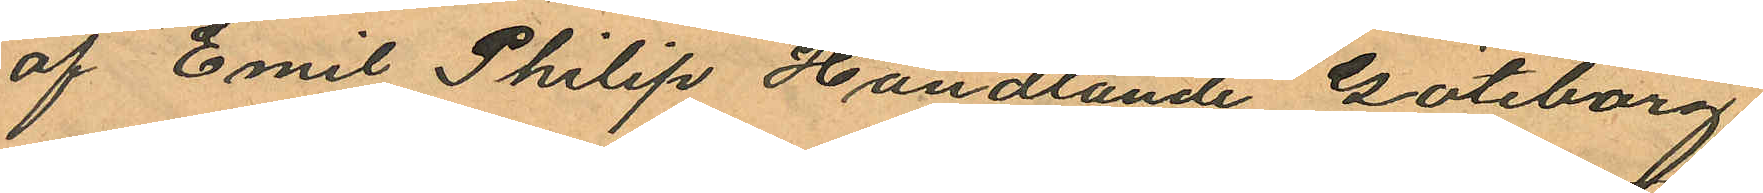af "Emil Philip Handlande Göteborg"
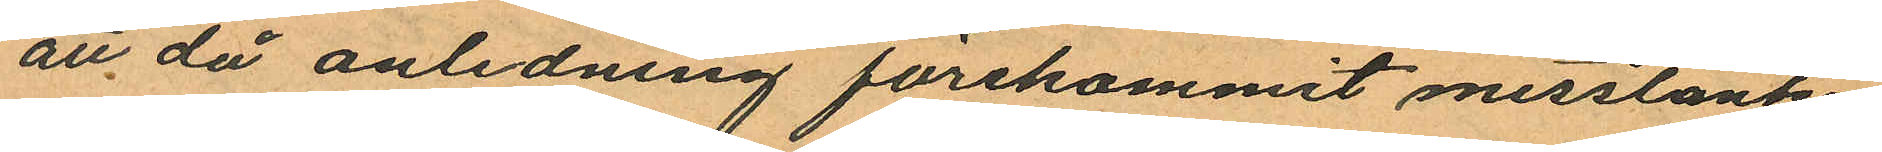att då anledning förekommit misstänka
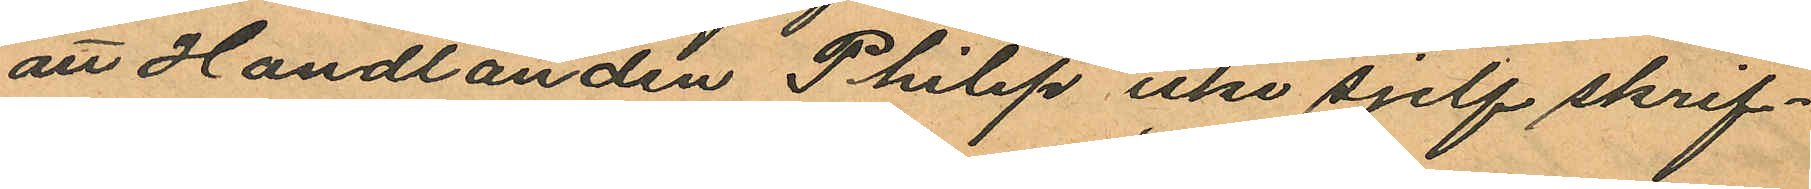att Handlanden Philip icke sjelf skrif¬
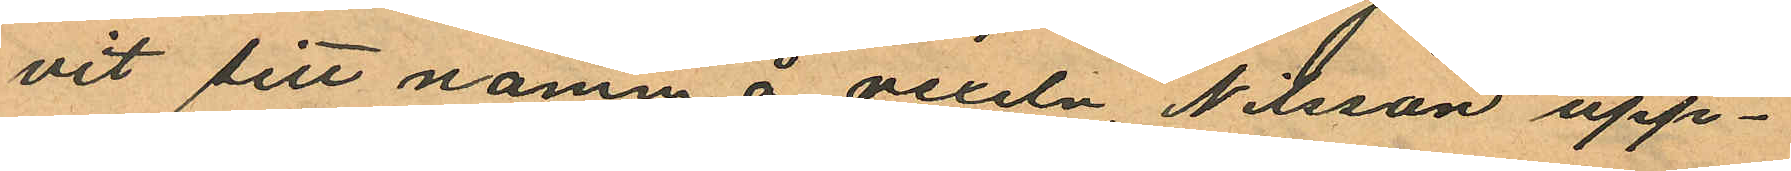vit sitt namm å vexeln, Nilsson upp¬
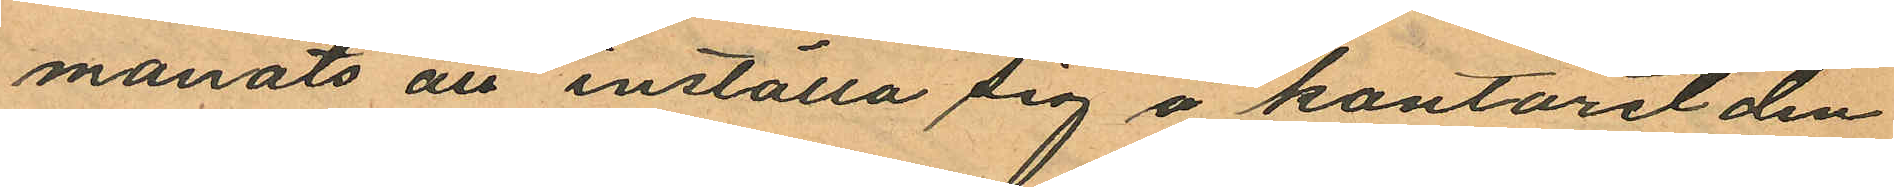manats att inställa sig å kontoret den
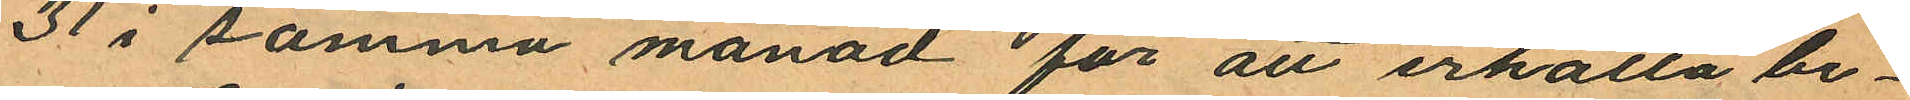31 i samma månad för att erhålla be¬
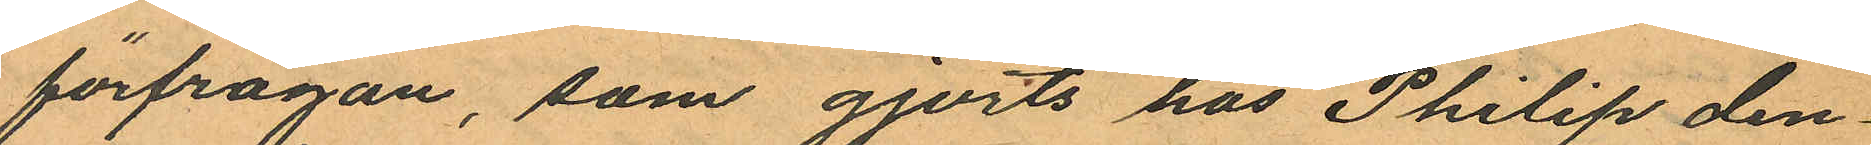förfrågan, som gjorts hos Philip den¬
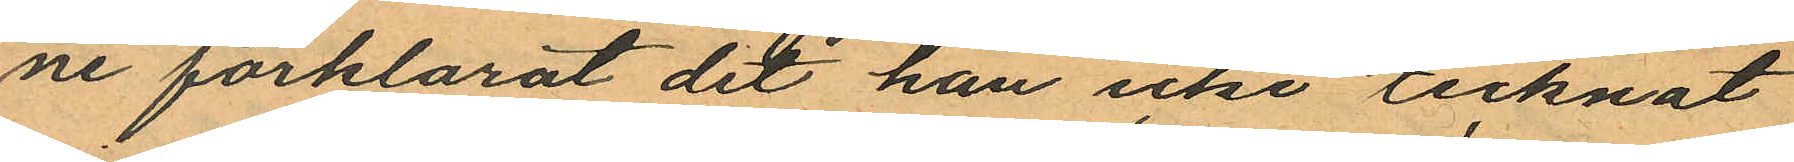ne förklarat det han icke tecknat
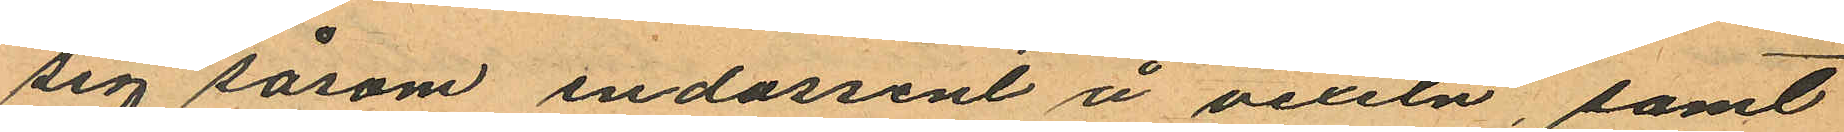sig såsom endossent å vexeln, samt
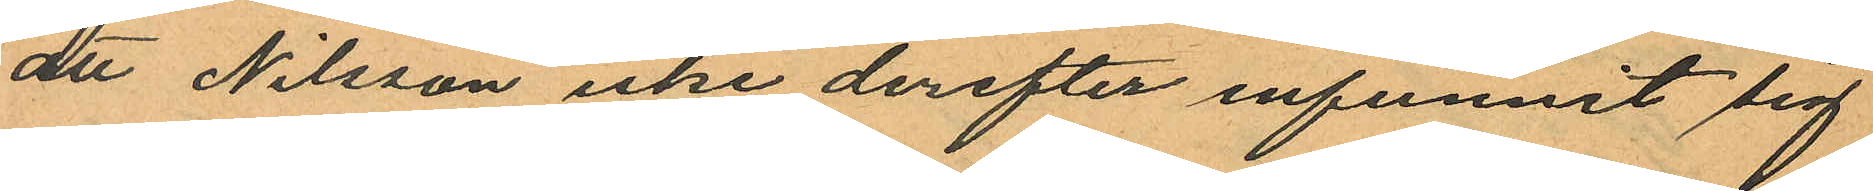att Nilsson icke derefter infunnit sig
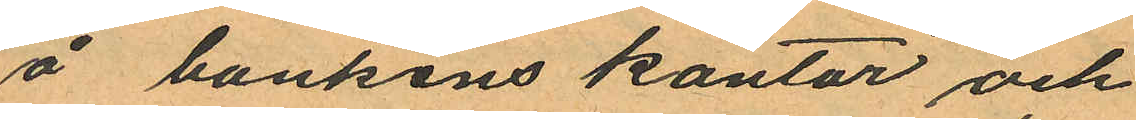å bankens kontor och
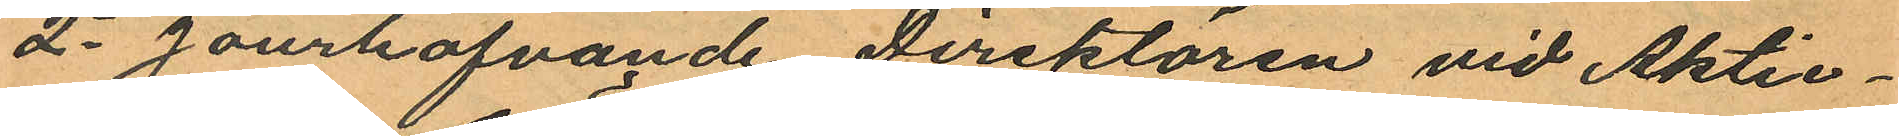2o Jourhafvande Direktören vid Aktie¬
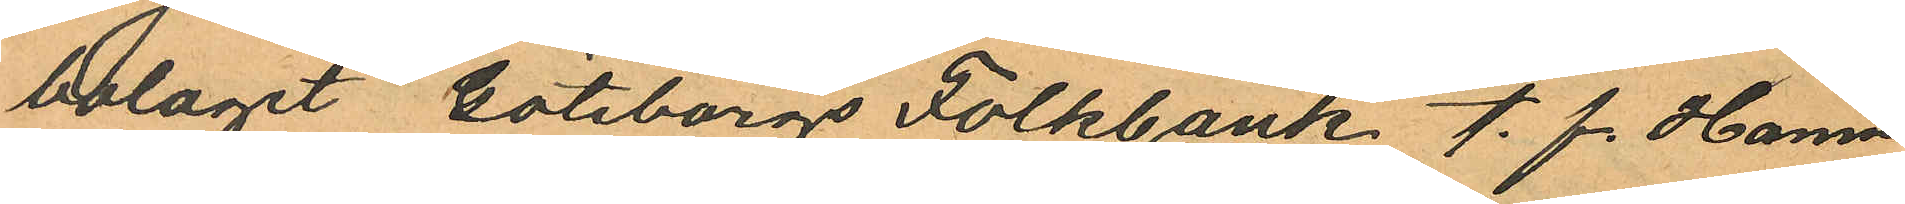bolaget Göteborgs Folkbank. t. f. Hamn
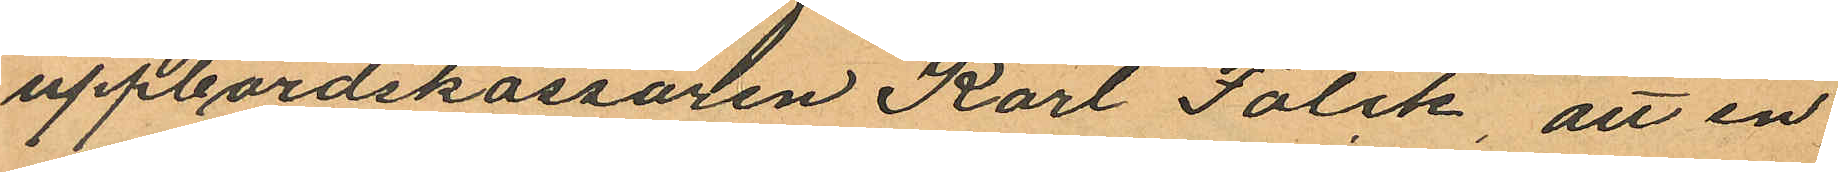uppbördskassören Karl Falck, att en
